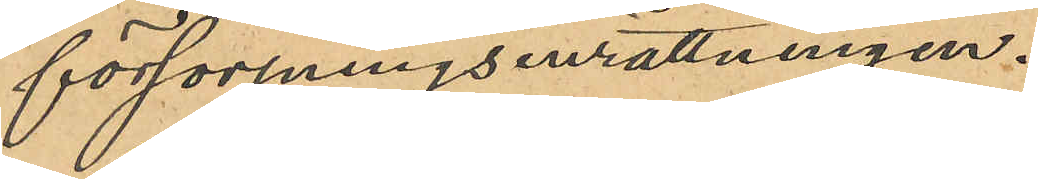försörjningsinrättningen.
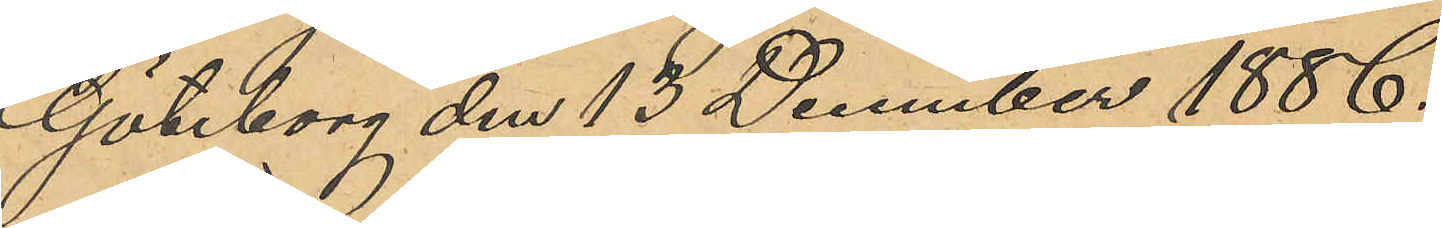Göteborg den 13 December 1886.
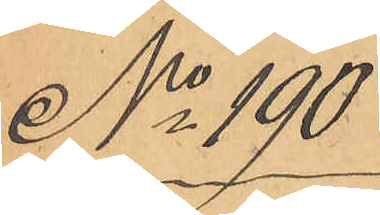No 190
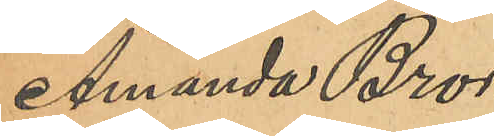Amanda Bror¬
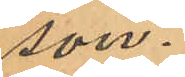son.
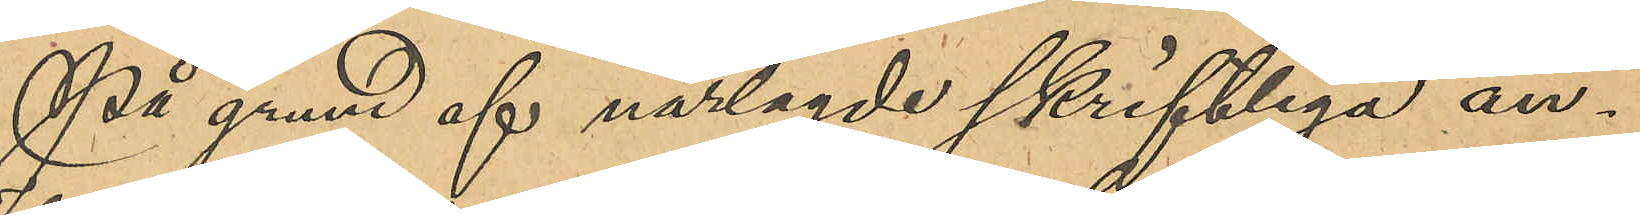På grund af närlagde skriftliga an¬
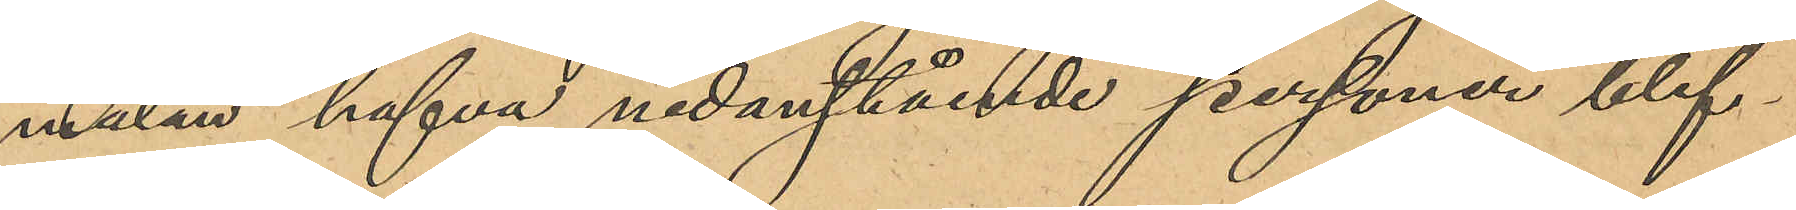mälan hafva nedanstående personer blif¬
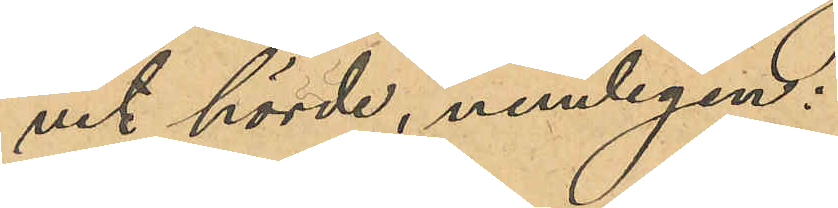vit hörde, nemligen:
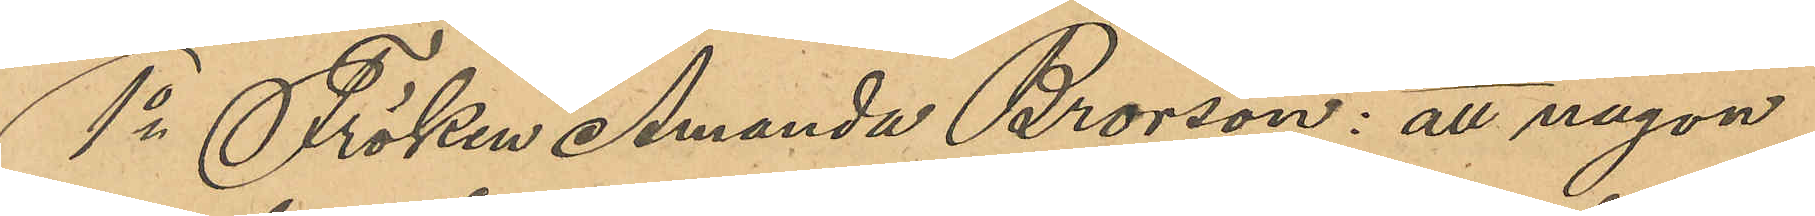1o Fröken Amanda Brorson: att någon
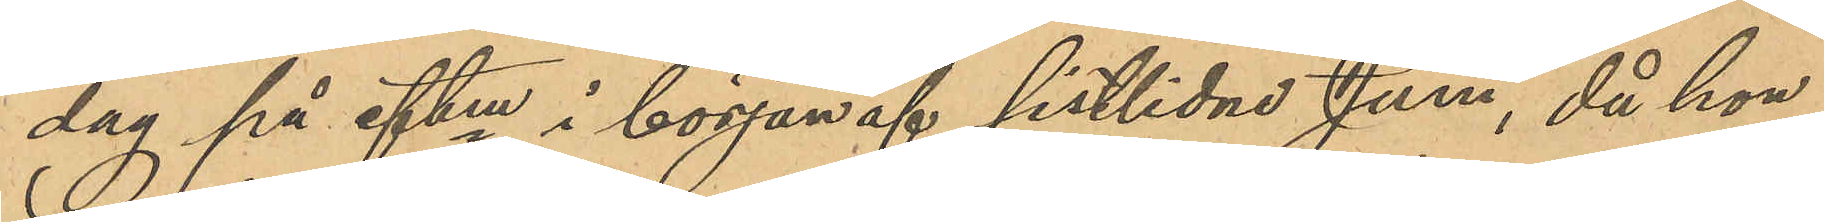dag på eftm i början af sistlidne Juni, då hon
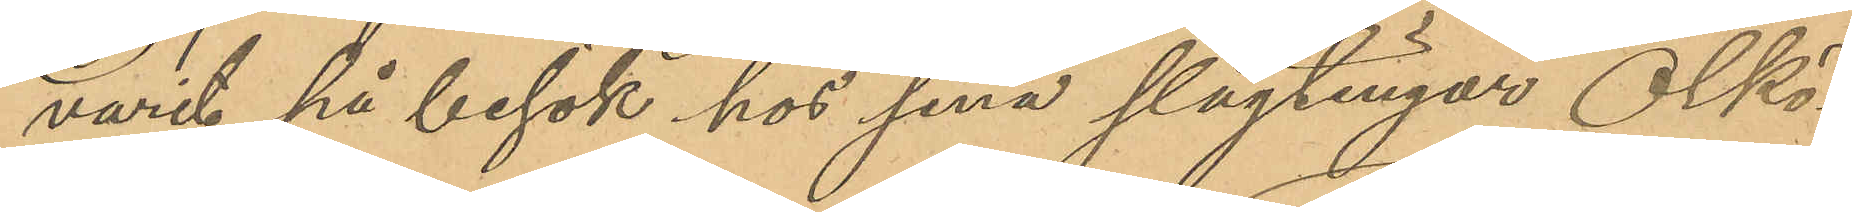varit på besök hos sina slägtingar Ölkö¬
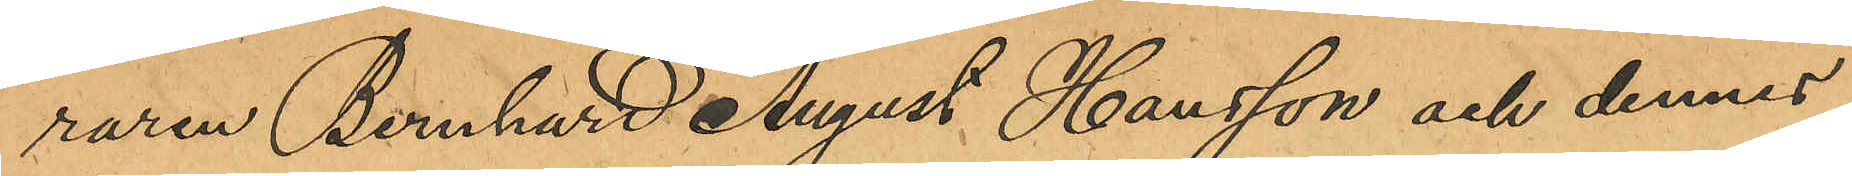raren Bernhard August Hansson och dennes
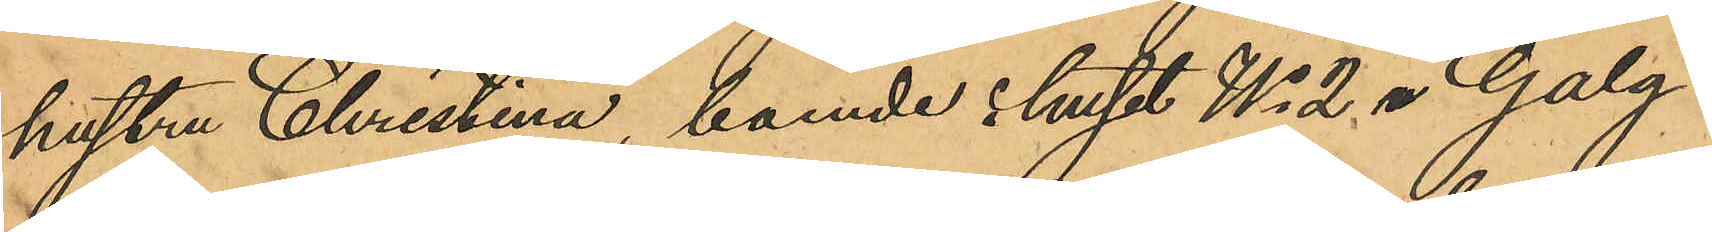hustru Christina, boende i huset No 2 i Galg¬
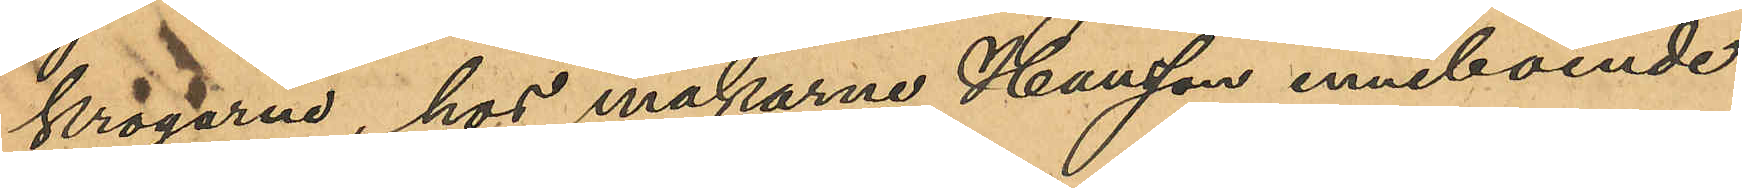krogarne, hos makarne Hansson inneboende
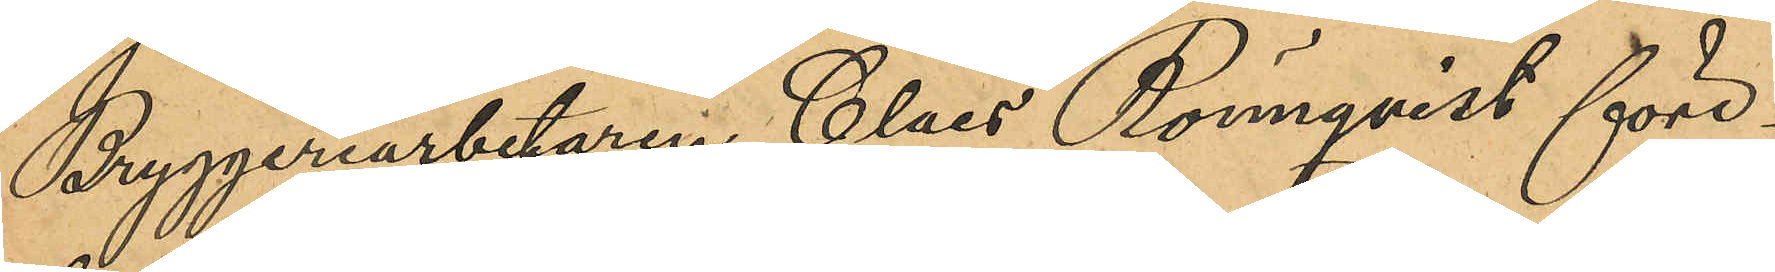Bryggeriarbetaren Claes Rönnqvist före¬
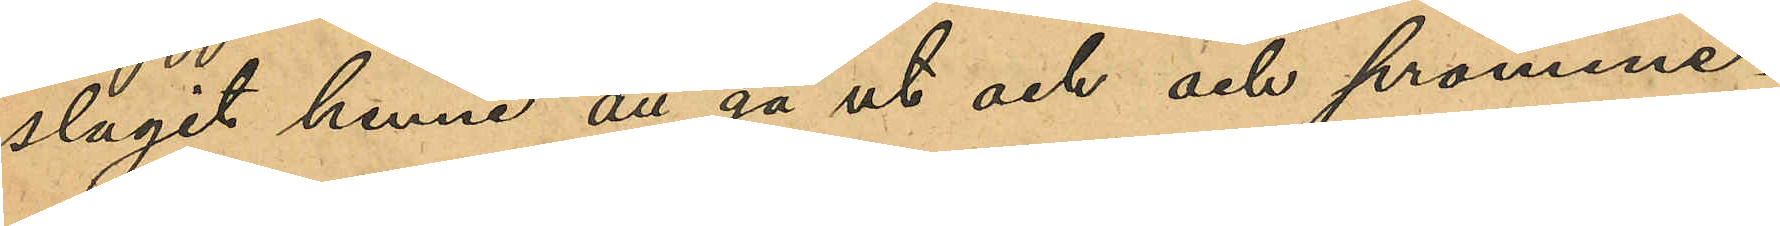slagit henne att gå ut och och promene¬
